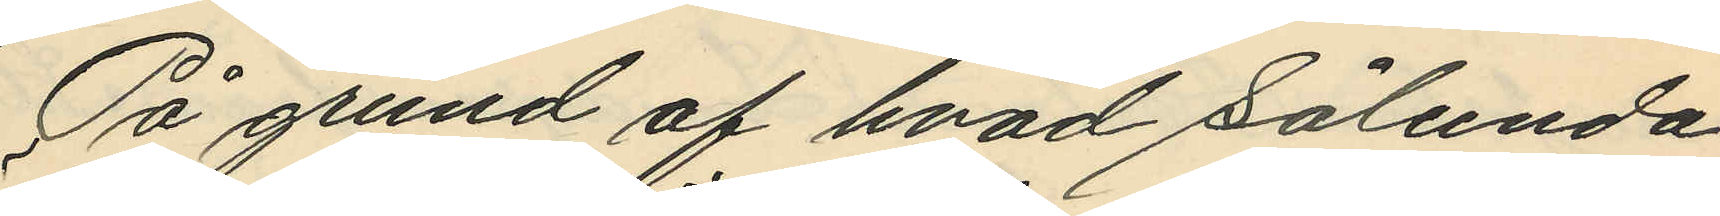På grund af hvad sålunda
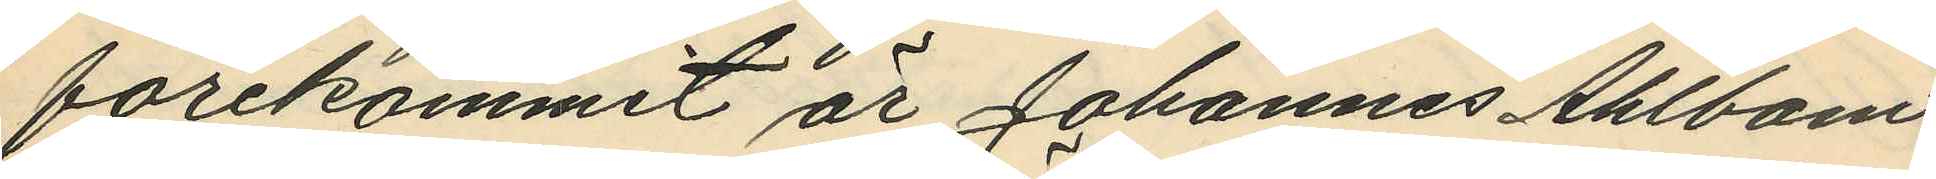förekommit är Johannes Ahlbom
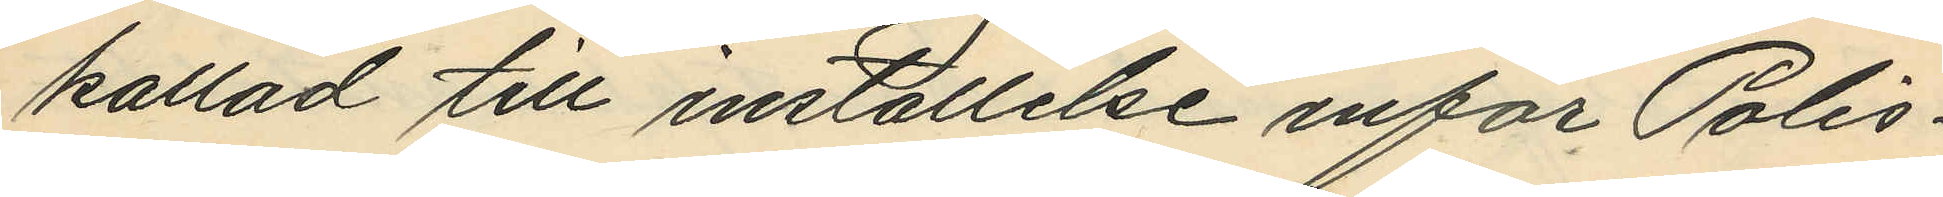kallad till inställelse inför Polis¬
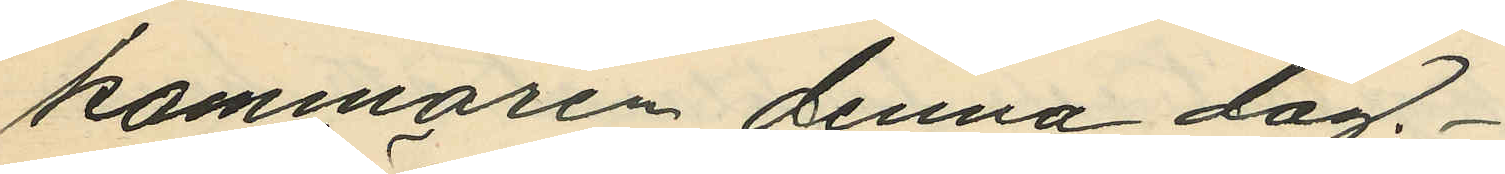kammaren denna dag.
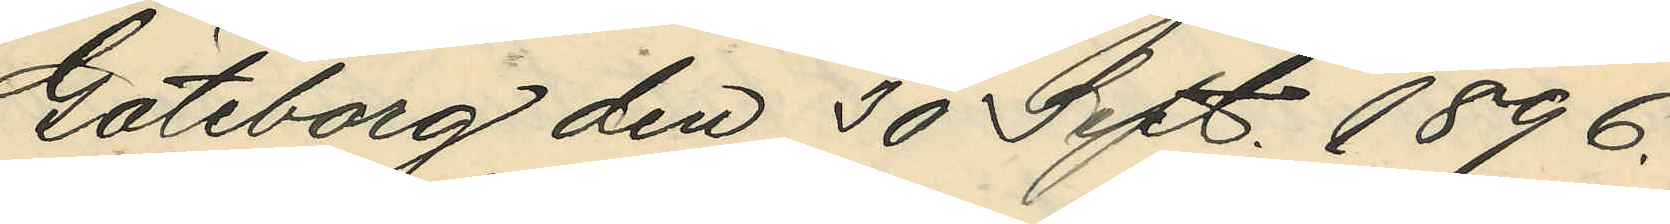Göteborg den 30 Sept. 1896.
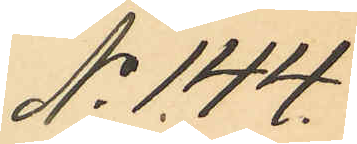No 144.
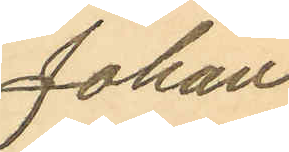Johan
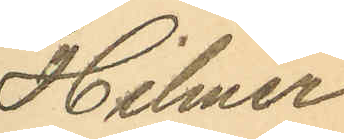Hilmer
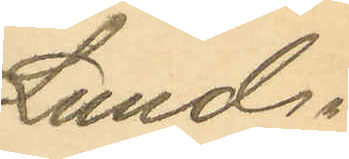Lund¬
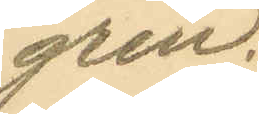gren.
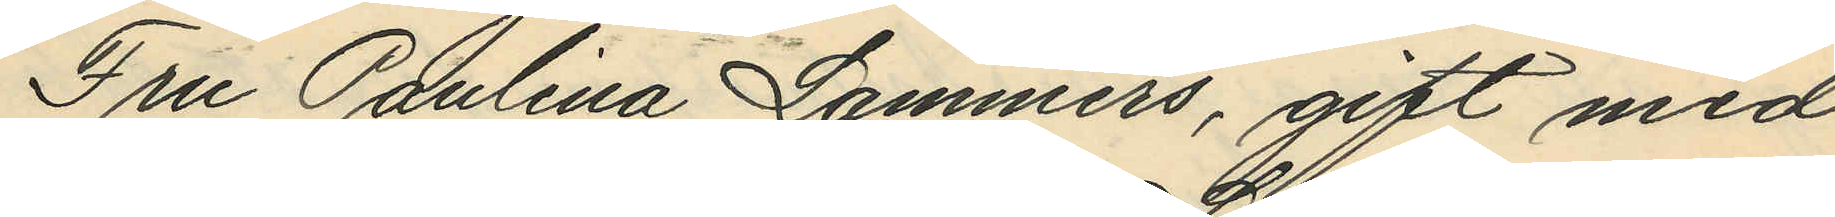Fru Paulina Lammers, gift med
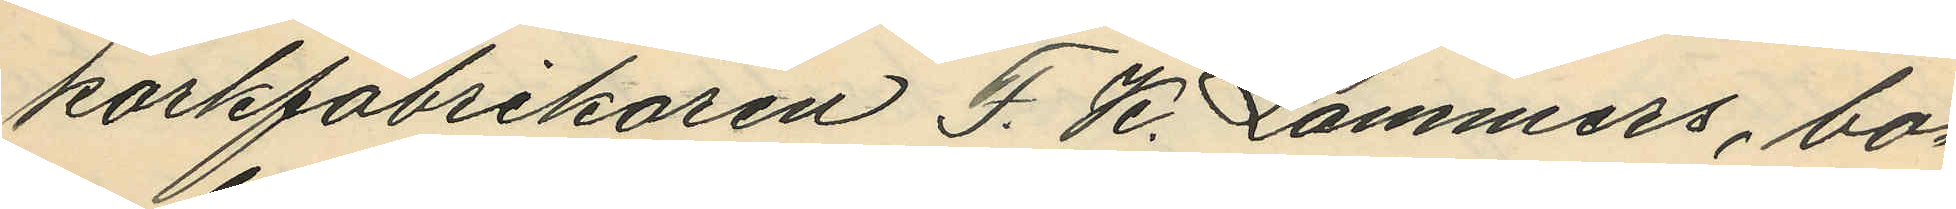korkfabrikören F. K. Lammers, bo¬
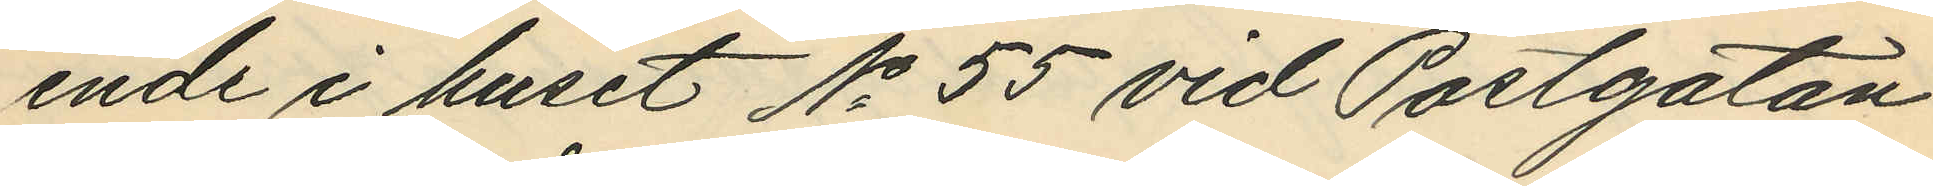ende i huset No 55 vid Postgatan
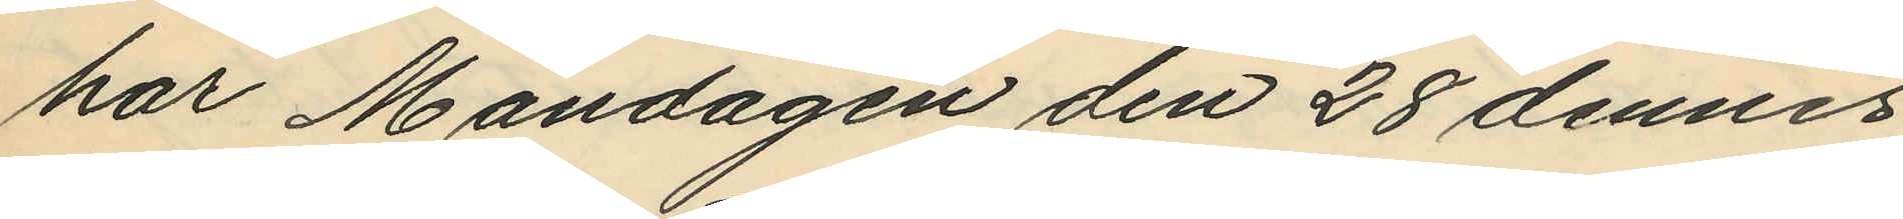har Måndagen den 28 dennes
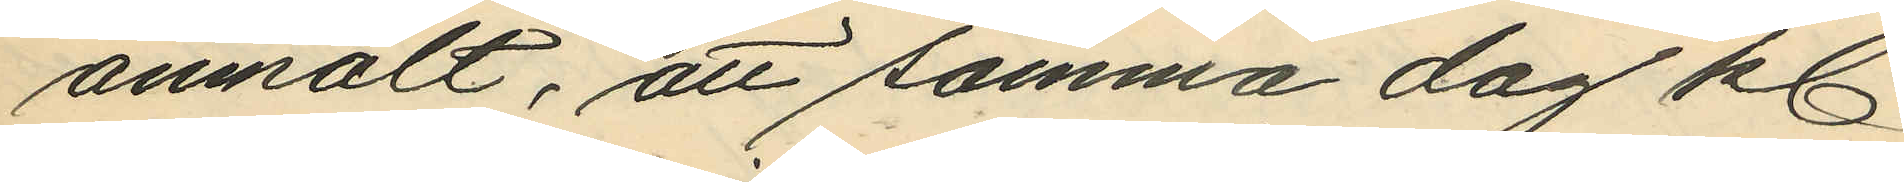anmält, att samma dag kl.
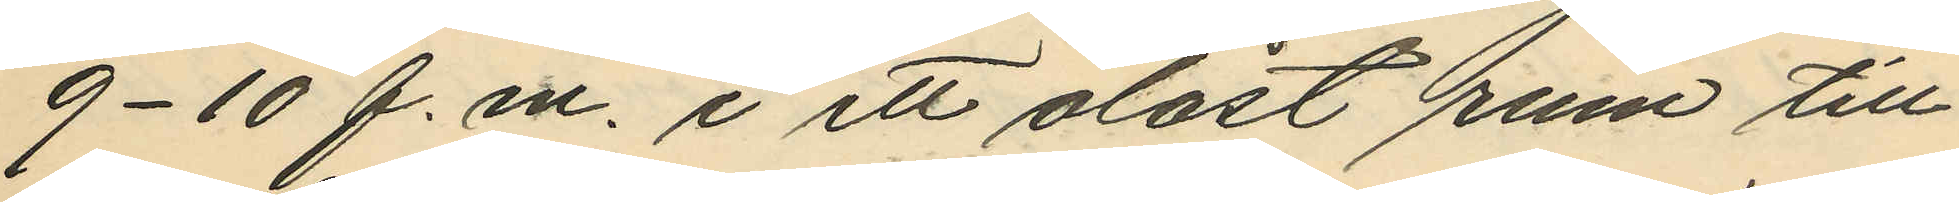9-10 f. m. i ett olåst rum till
